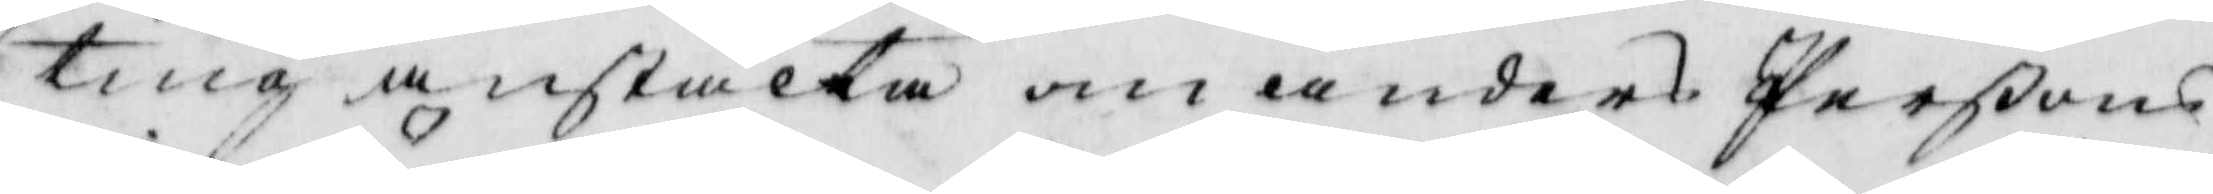ting anstalta om Anders Perßons
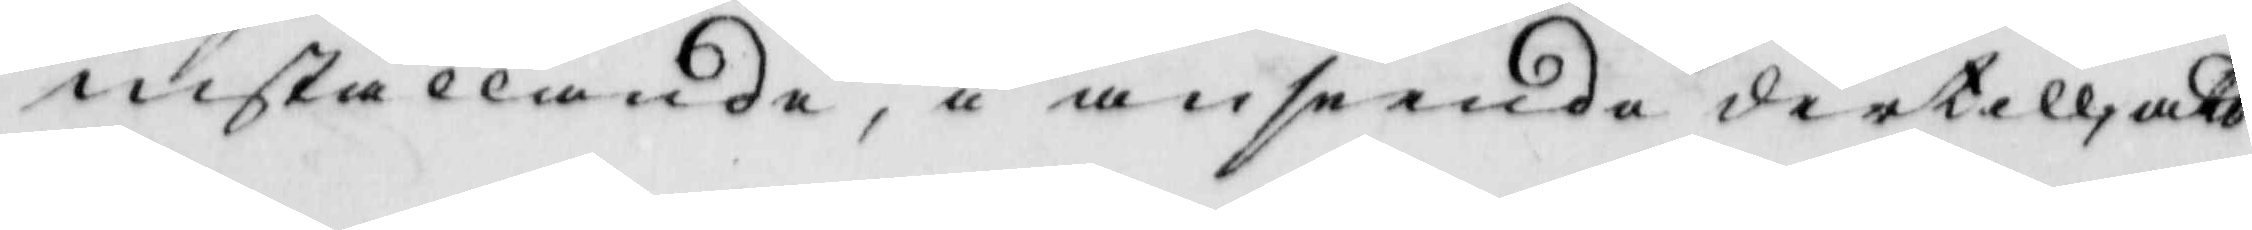inställande, i anseende dertill att
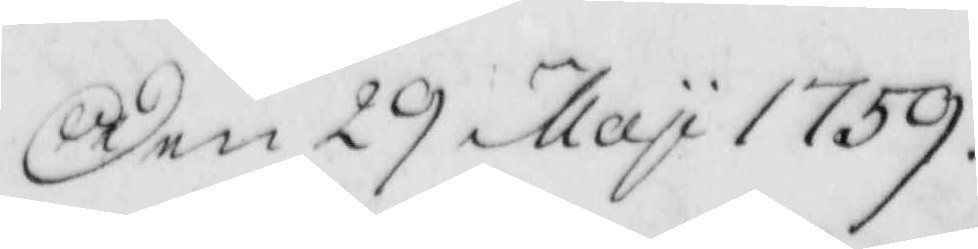Den 29 May 1759.
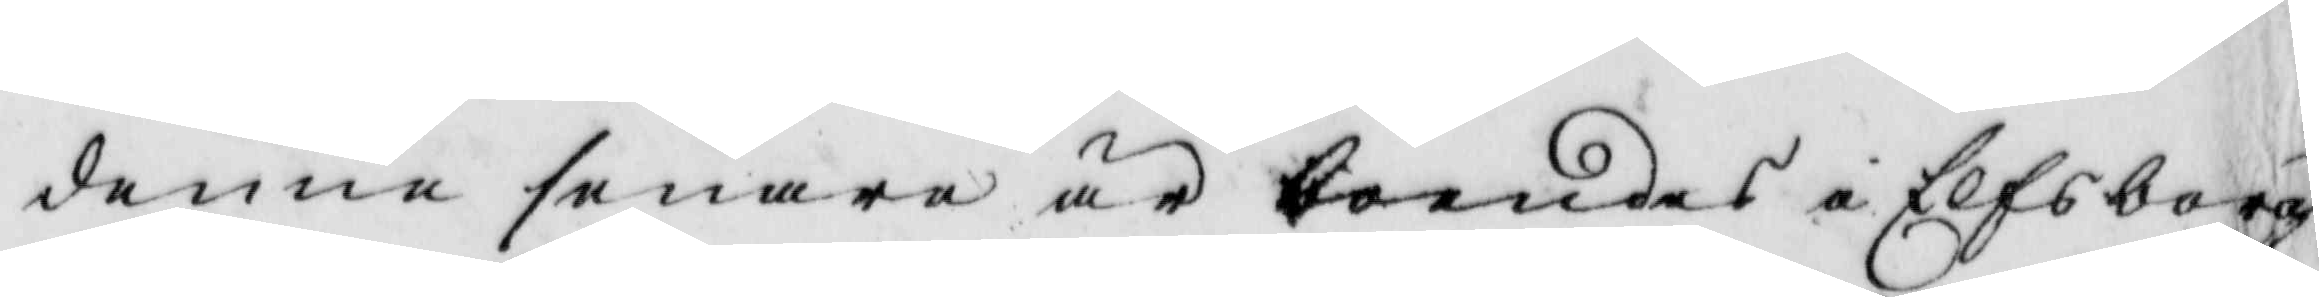denne senare är boendes i Elfsborgs
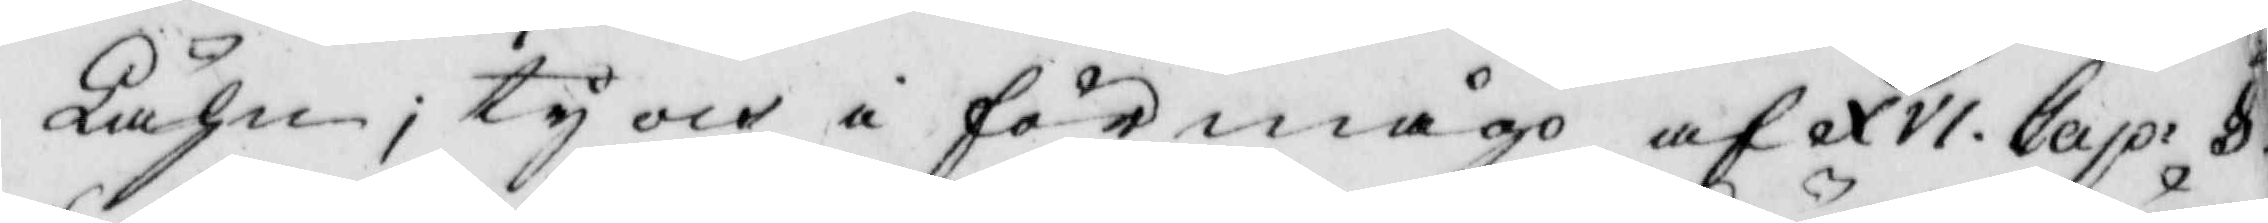Lähn, ty och i förmågo af XVI. Cap. § 
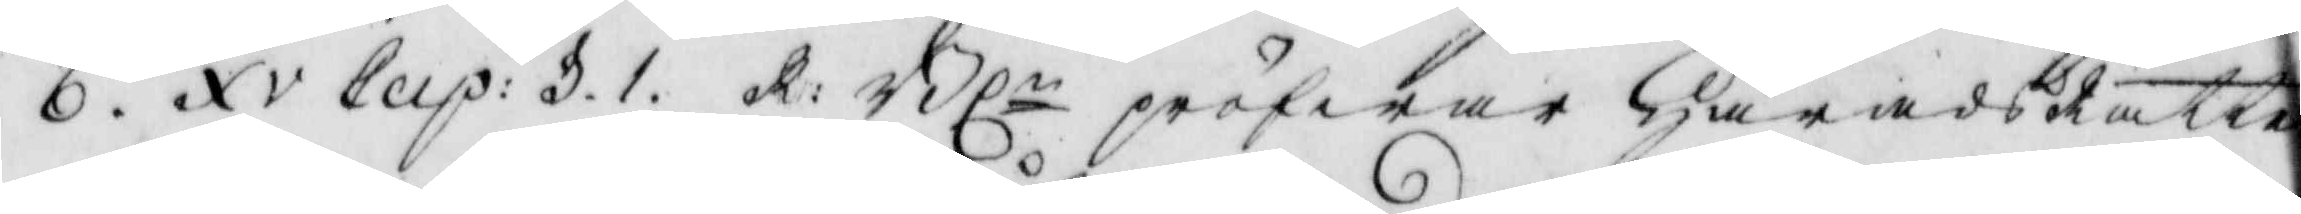6. XV Cap: 31. R: Bln pröfwar Härads rätt 
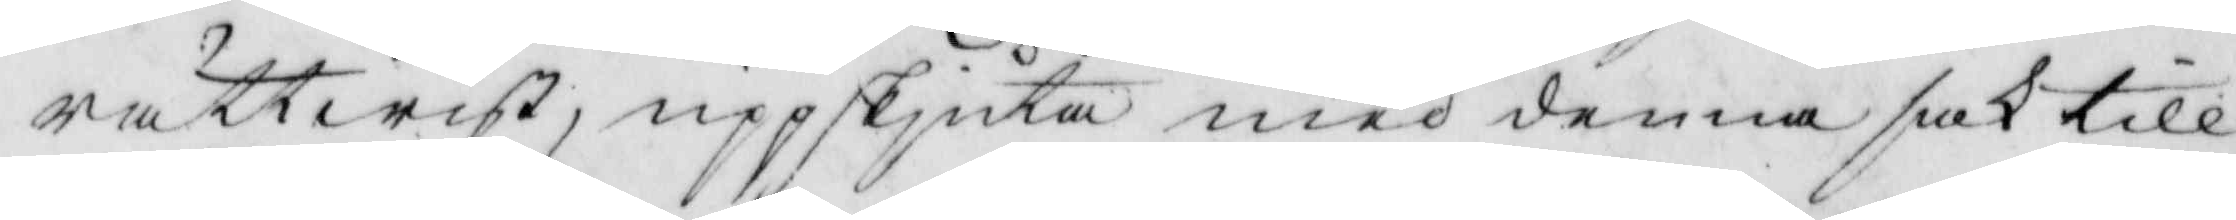rättwist, uppskiuta med denna sak till
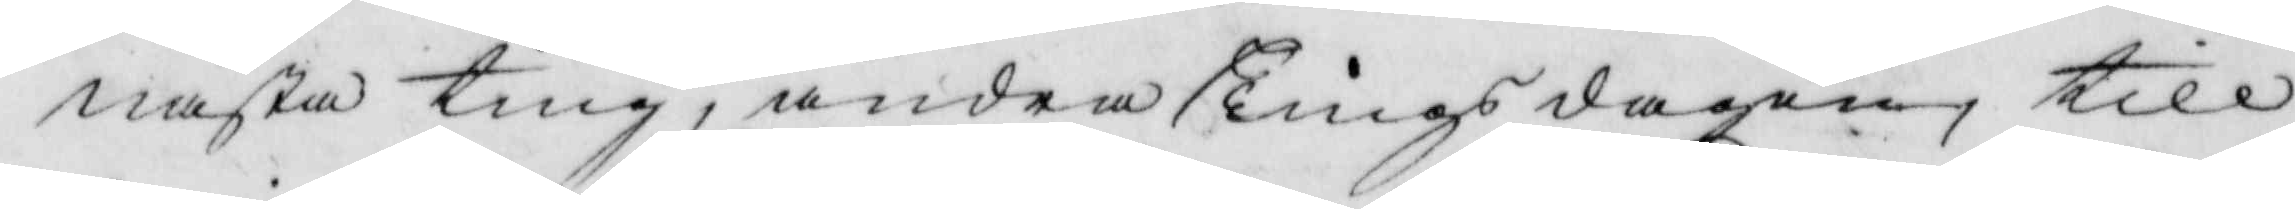nästa ting, andra Tingsdagen, till
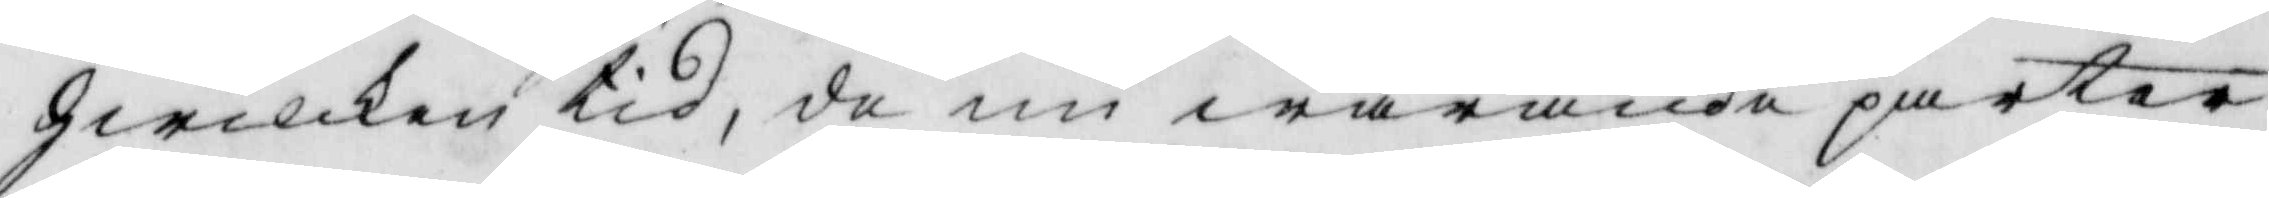hwilken tid, de nu warande parter
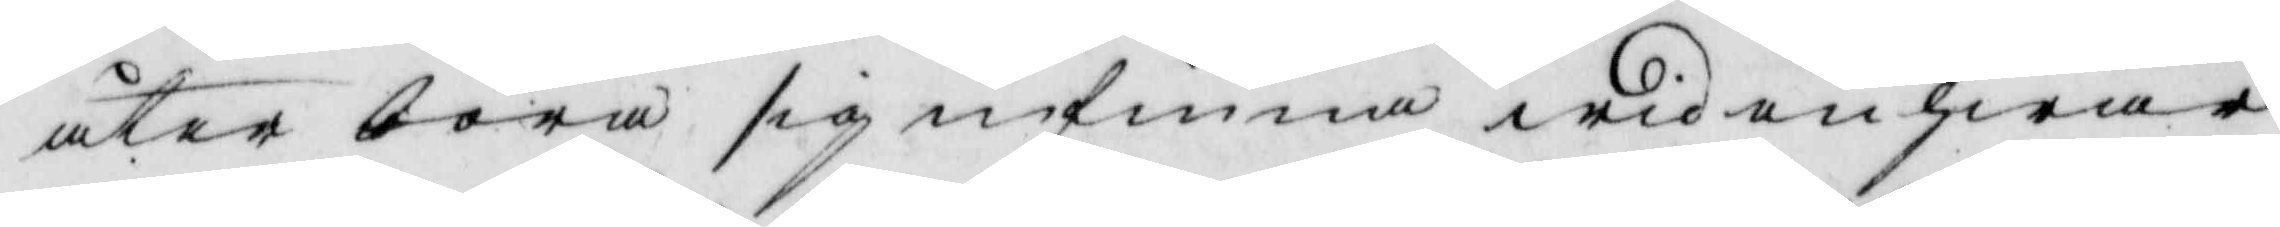åter böra sig infinna wid en hwar
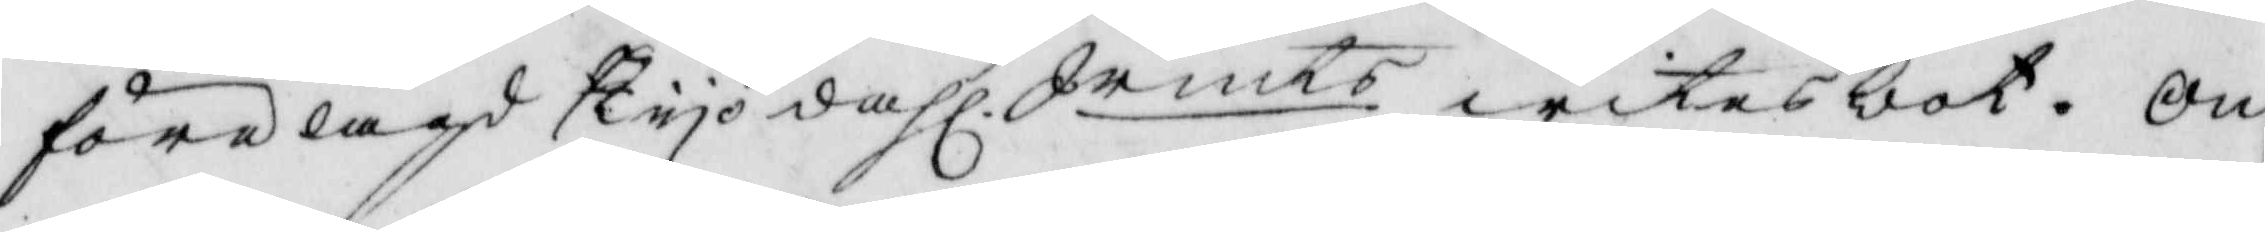förelagd Tyo dahl Smts witnesbot. om 
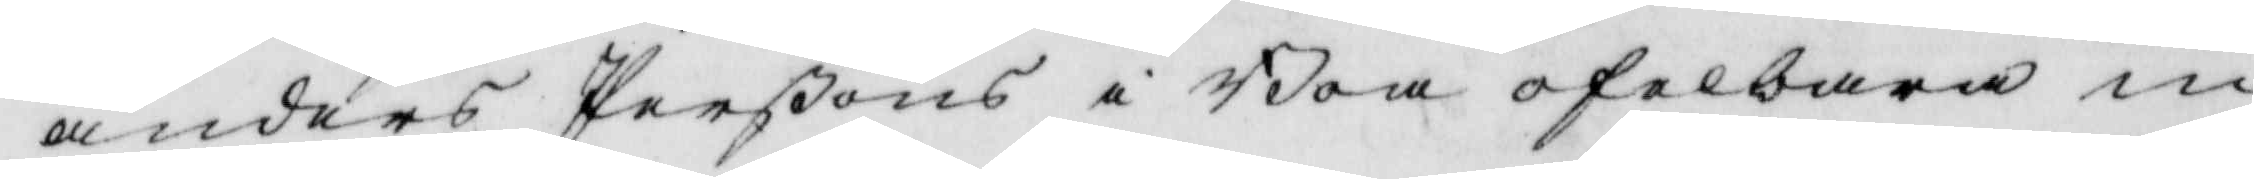anders Perßons i Boa ofelbara in¬
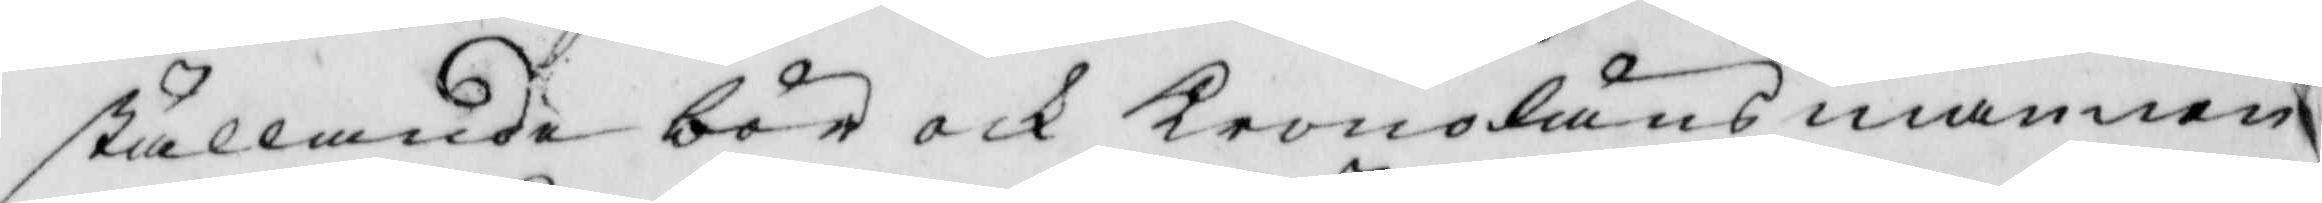ställande bör och KronoLänsmannen
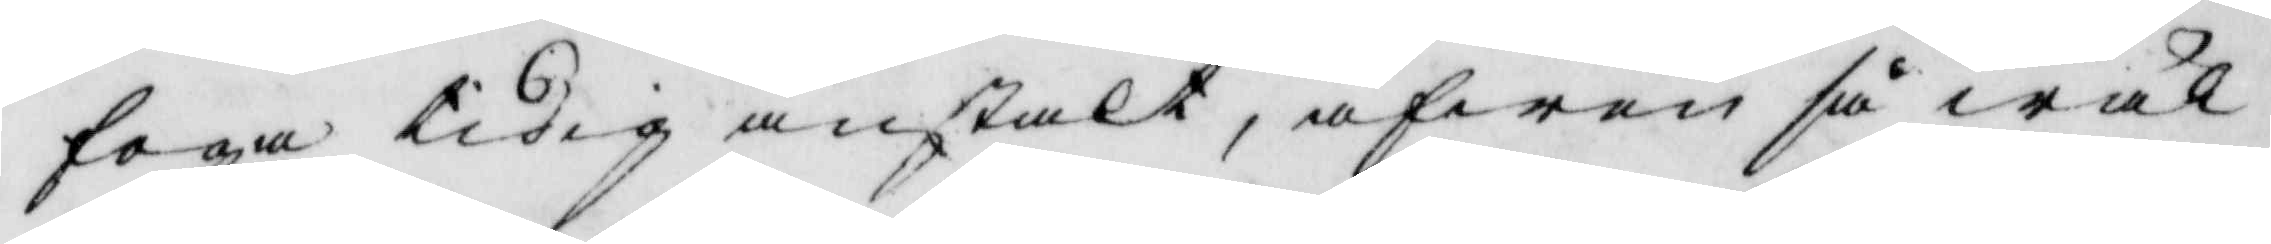foga tidig anstalt, äfwen så wäl
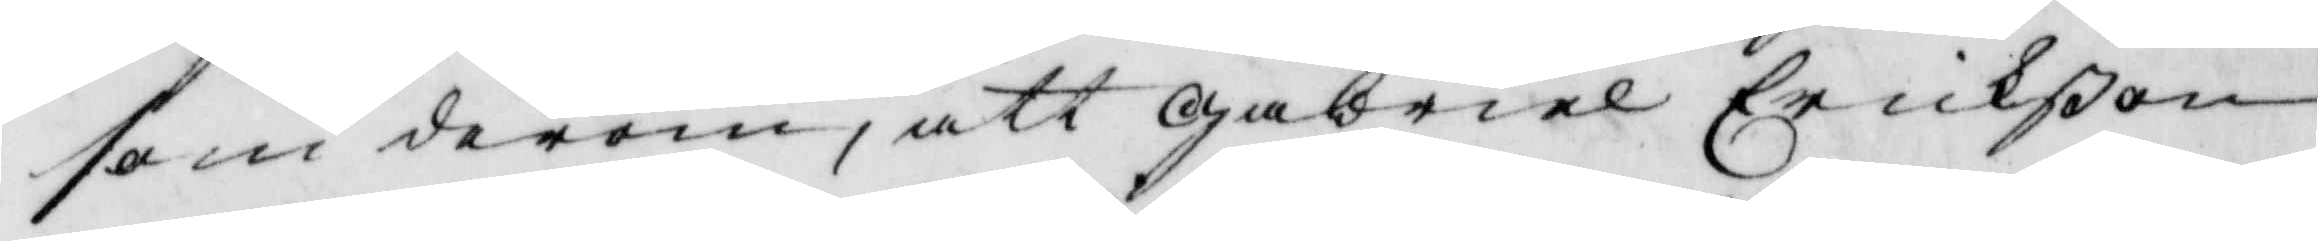som derom, att Gabriel Erikßon
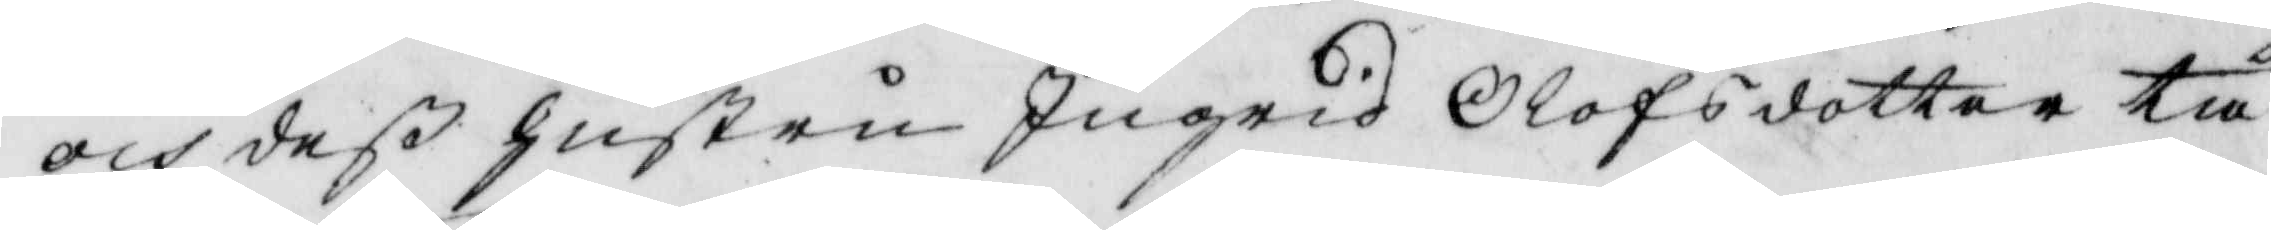och deß hustru Ingrid Olofsdotter tå
